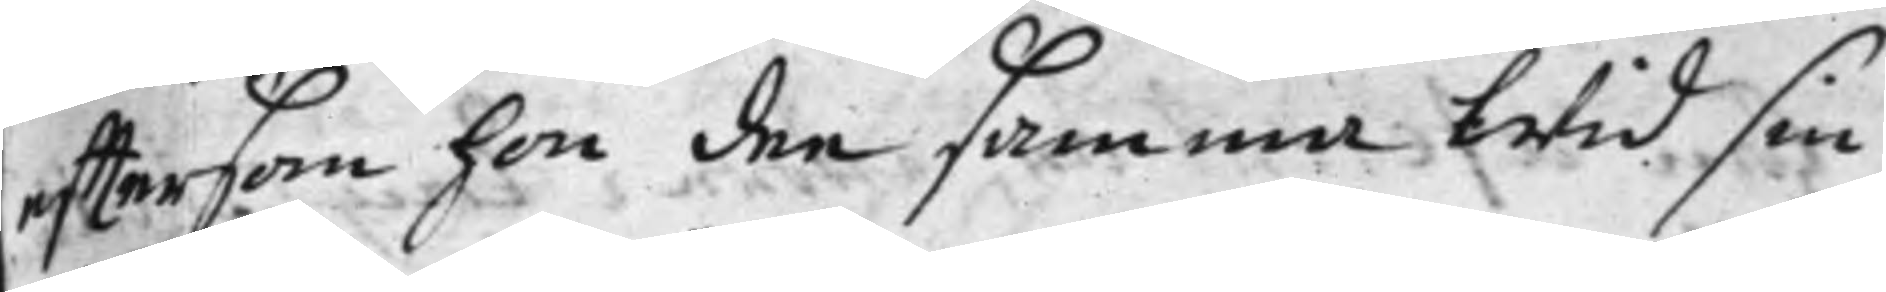efftersom hon den samma Wid sin
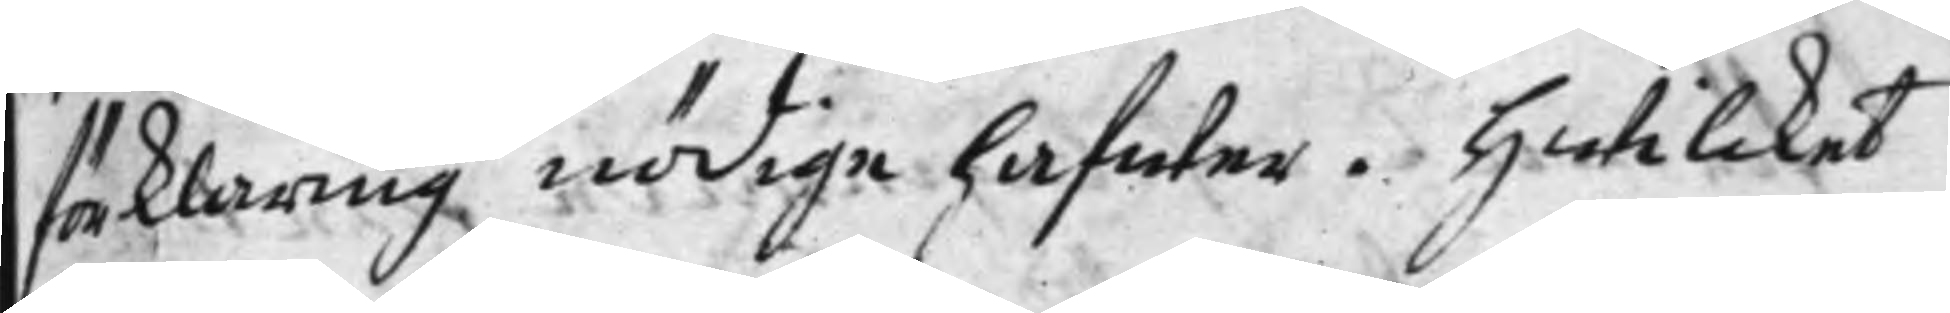förklaring nödige hafwer. Hwilcket
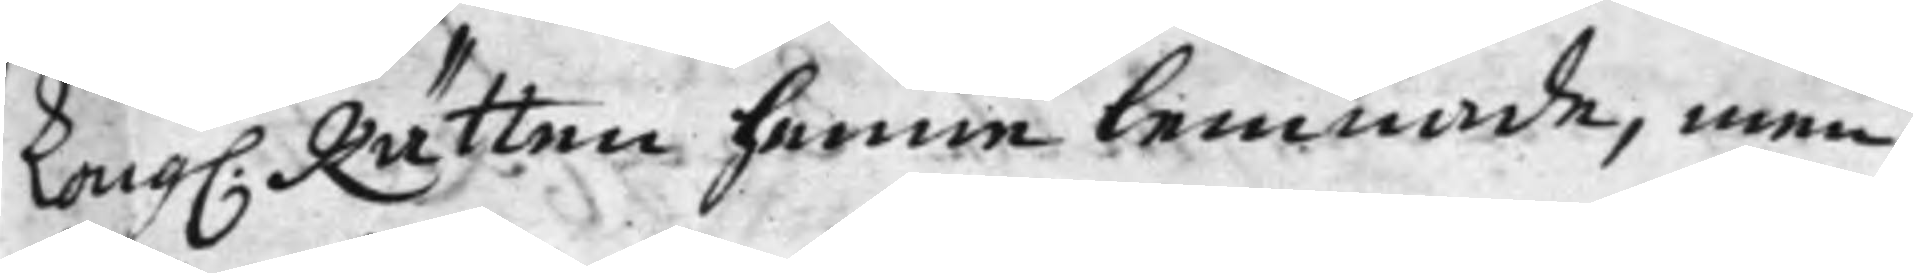Kong. Rätten henne lemnade, men
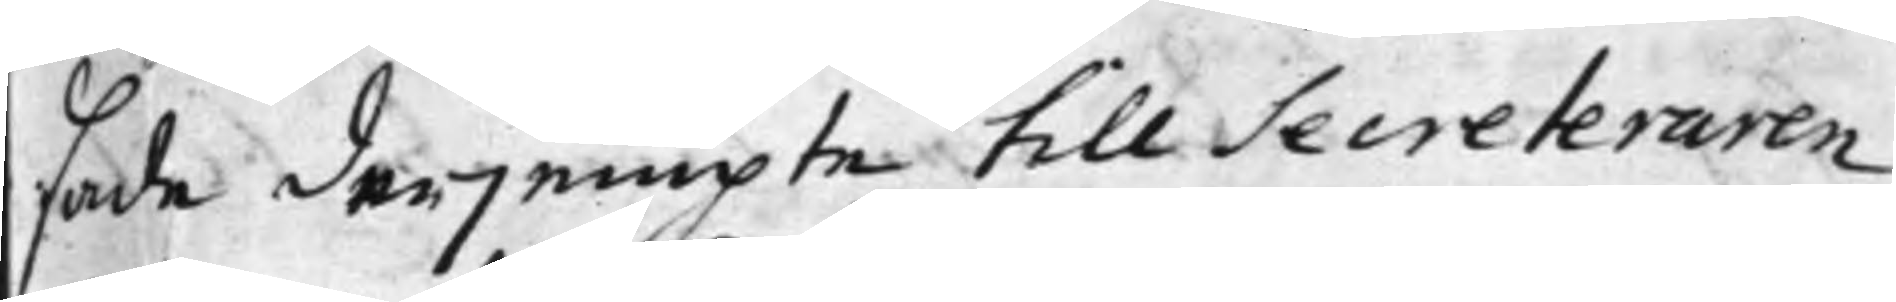sade derjempte till Secreteraren
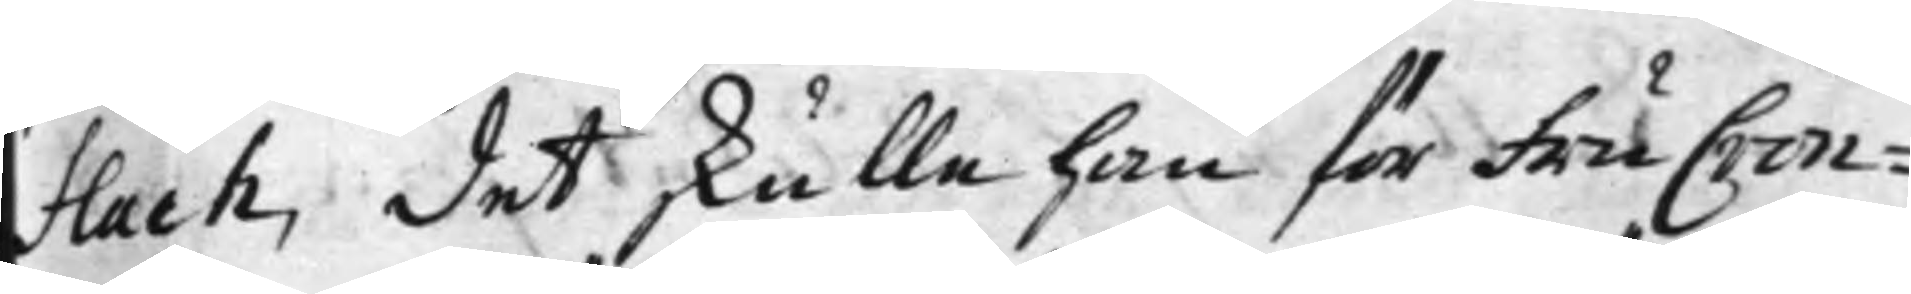Flach, det skulle han för Fru Cron¬
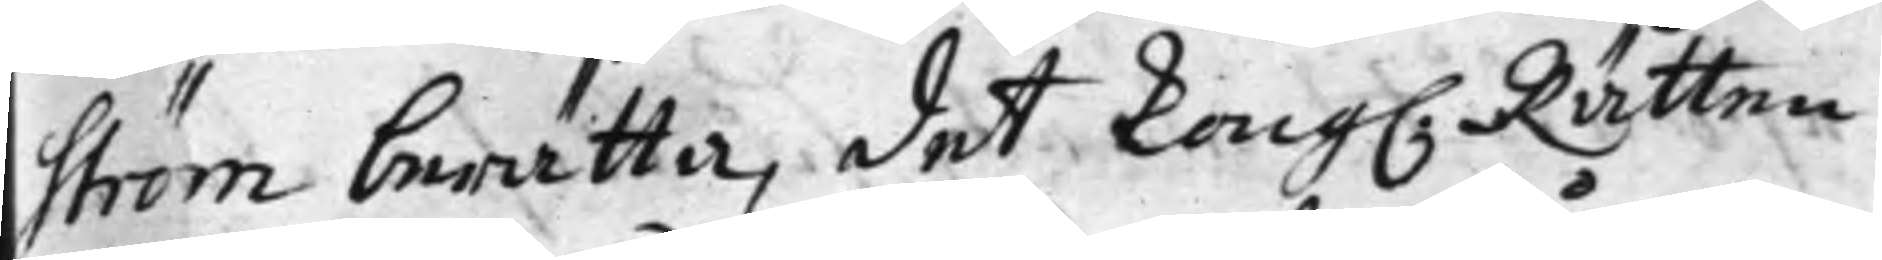ström berätta, det Kong. Rätten
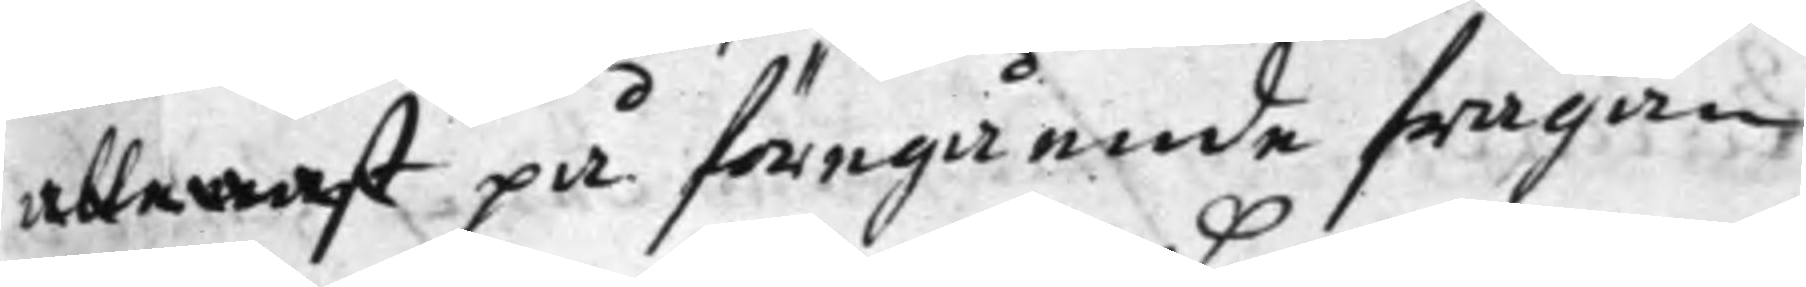allenast på föregående frågan
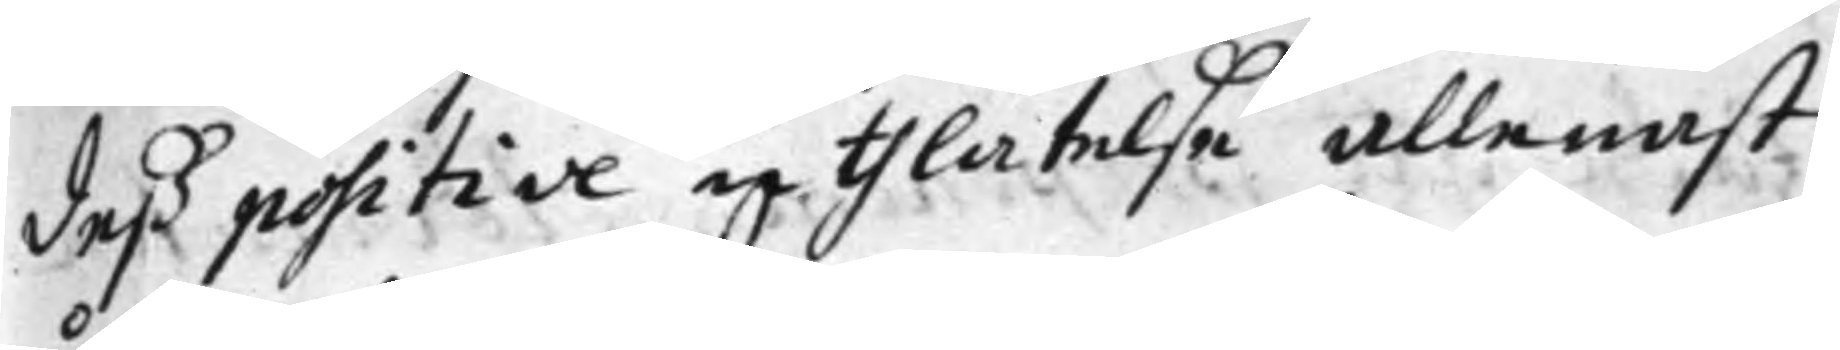deß positive uthlåtelse allenast
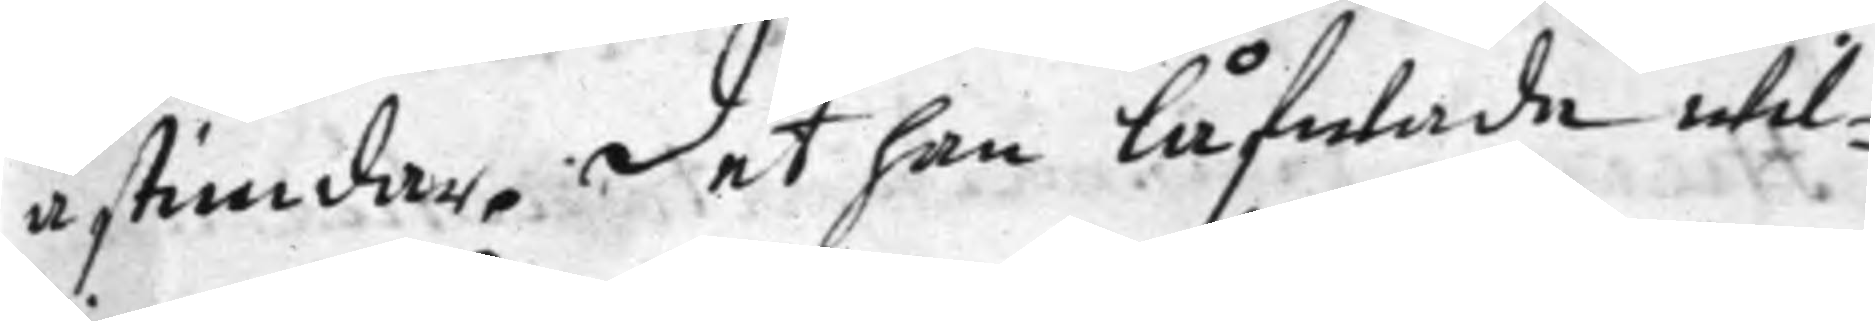åstundar. det han låfwade wil¬
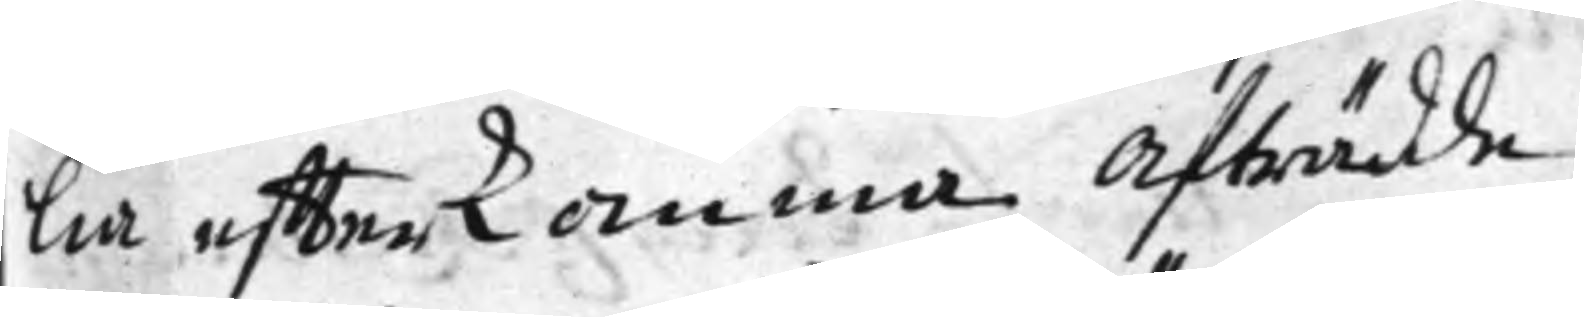lia effterkomma. Afträdde.
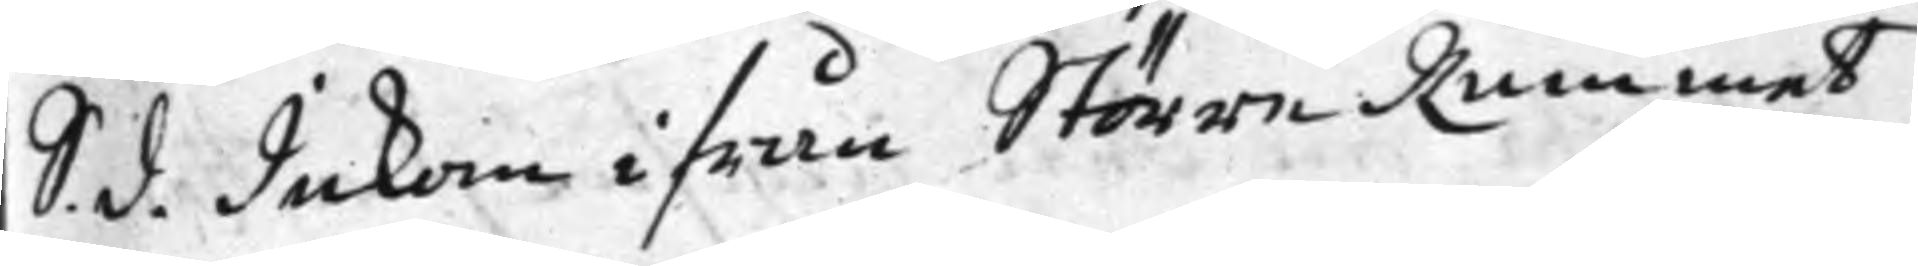S. d. Inkom ifrån Större Rummet
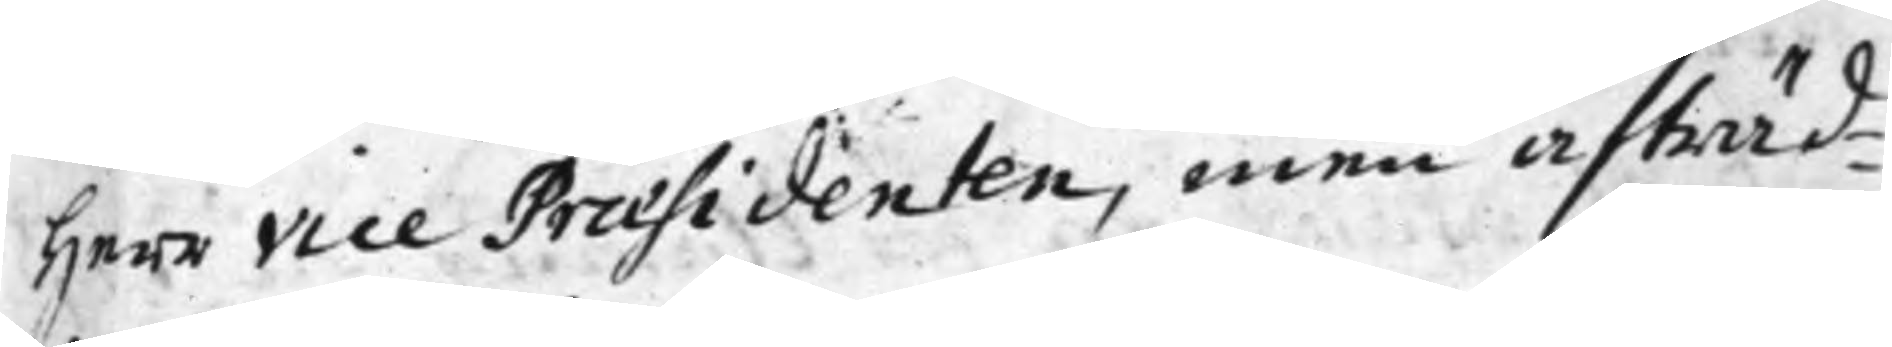Herr Vice Praesidenten, men afträd¬
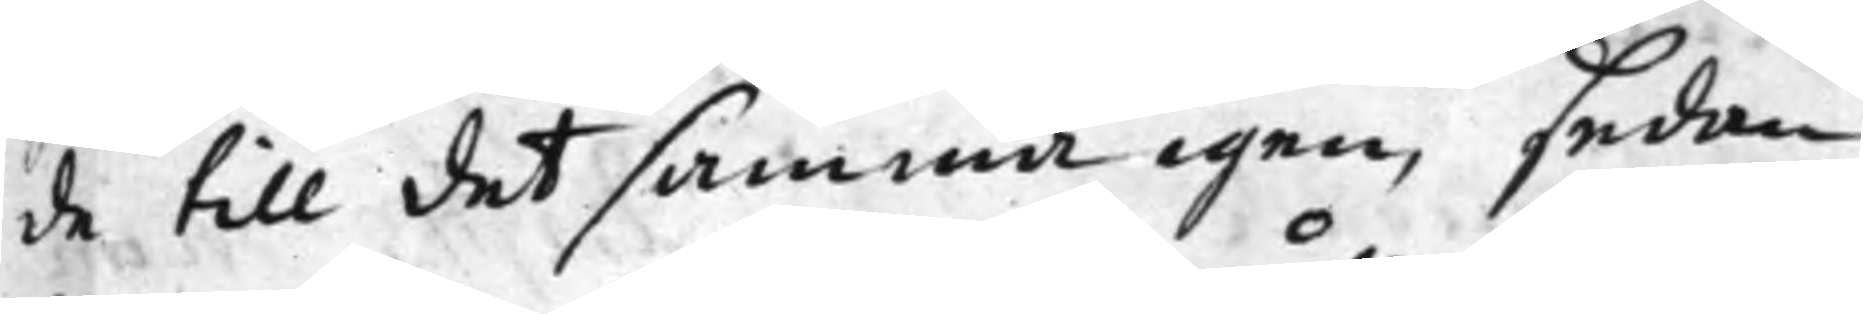de till detsamma igen, sedan
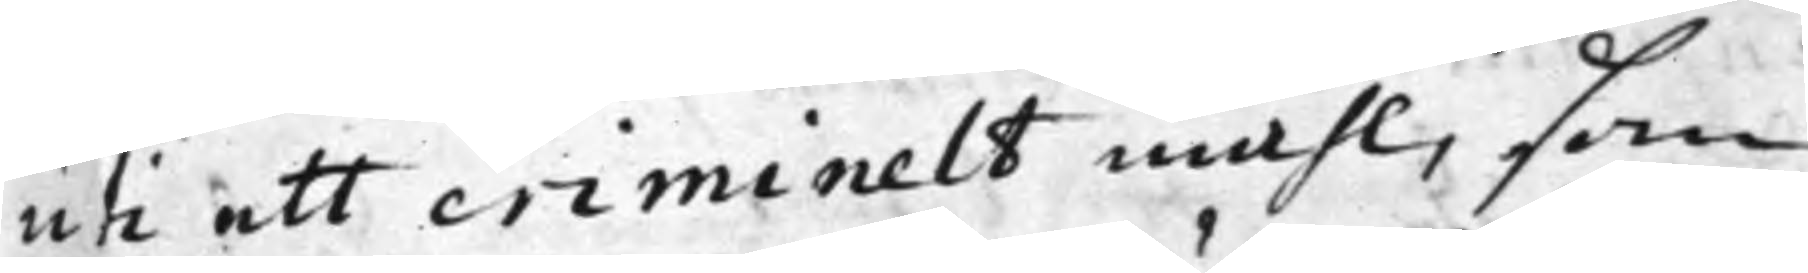uti ett criminelt måhl, som
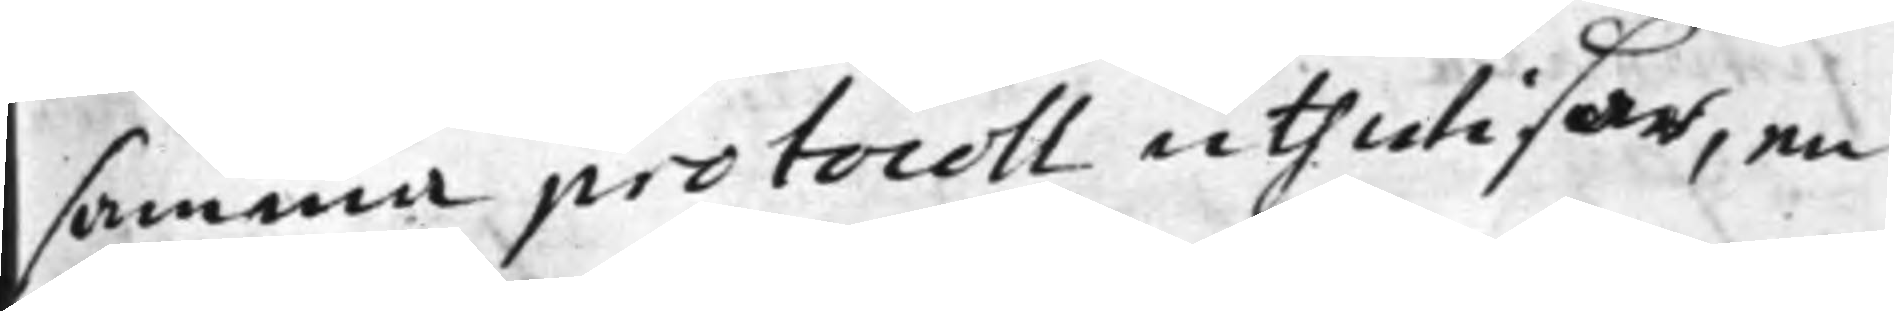samma protocoll uthwisar, en
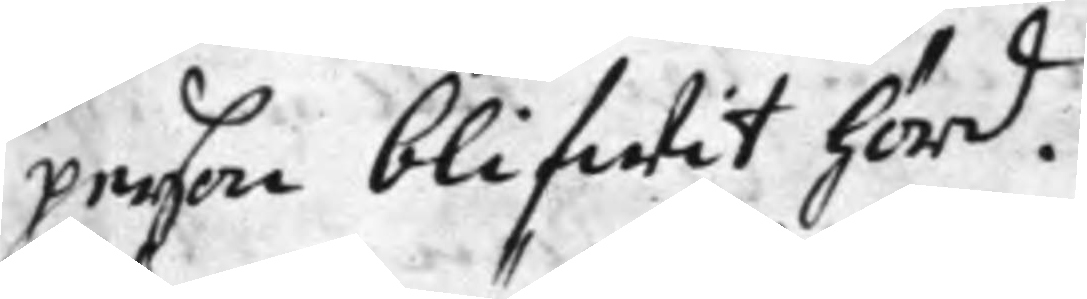person blifwit hörd.
